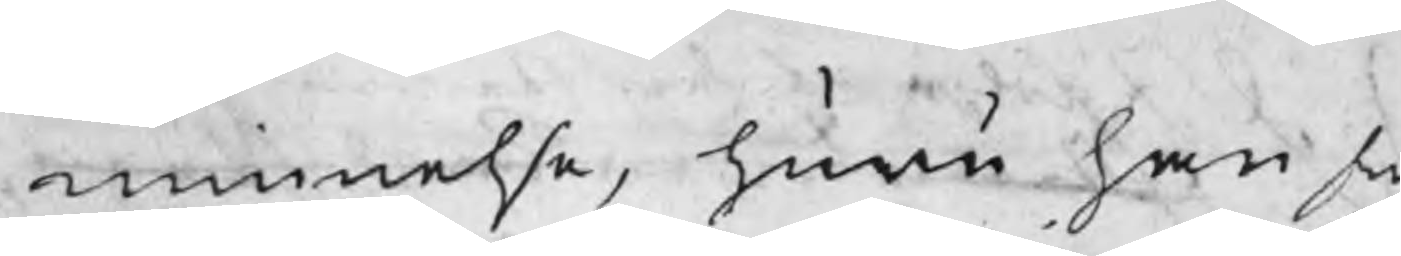minnelse, huru han s
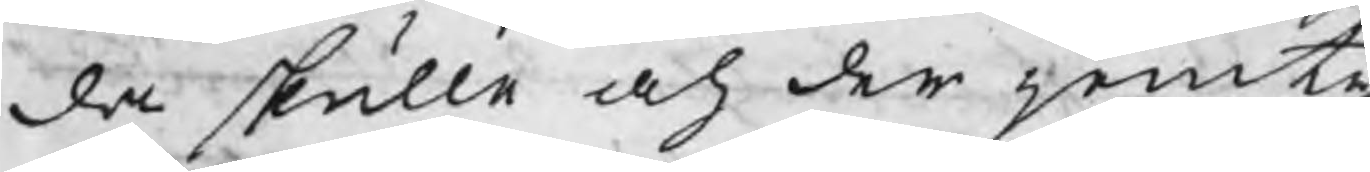da skulle och der jemte
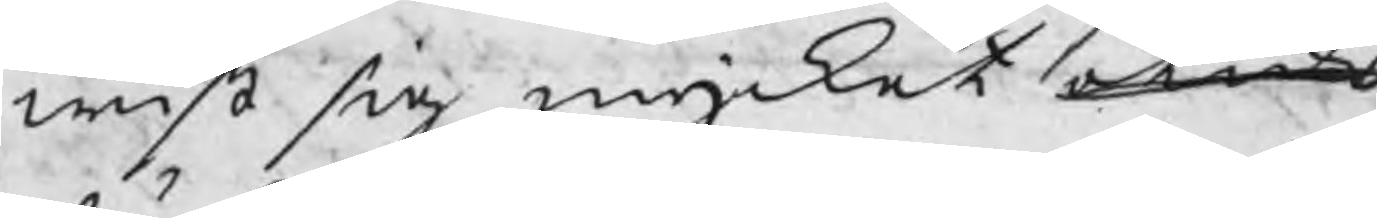wist sig mycket otidig
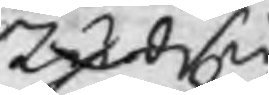studsig
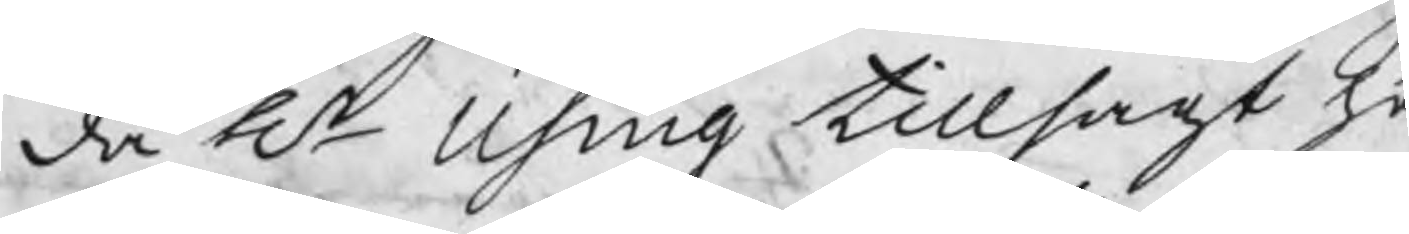då Hr Using tillsagt ho
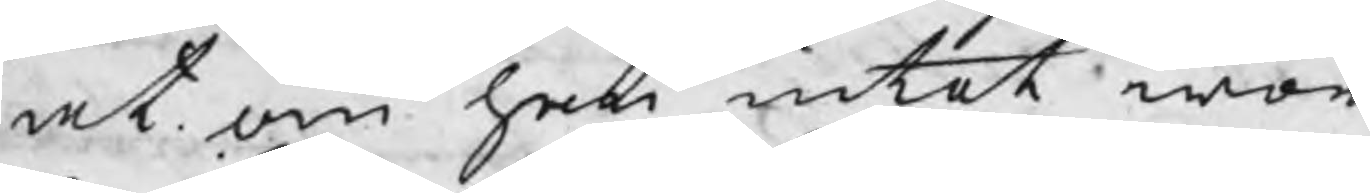at om han intet wor
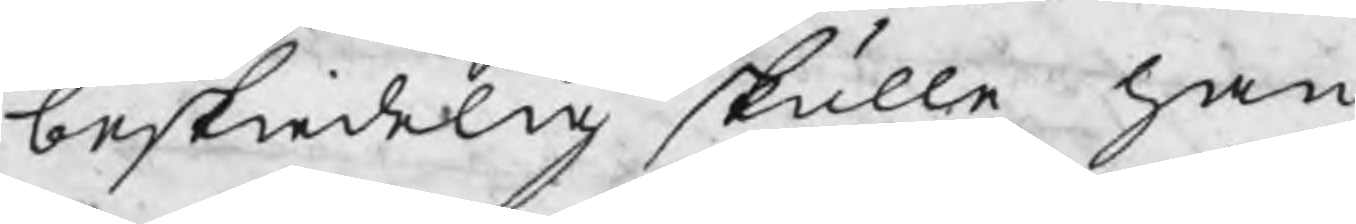beskiedelig skulle han
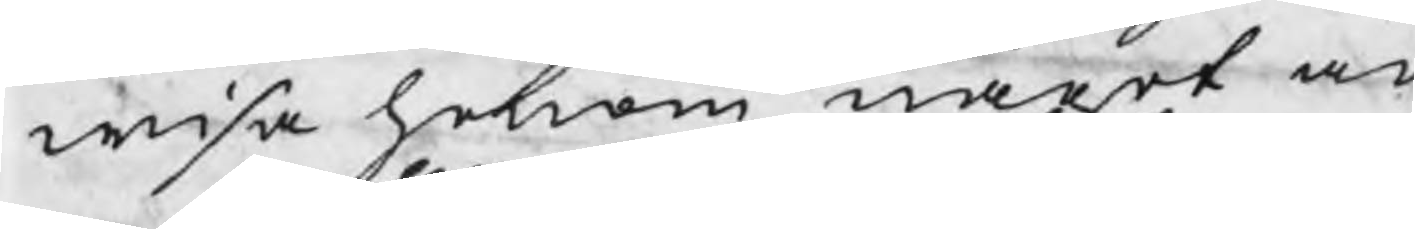wisa honom något an
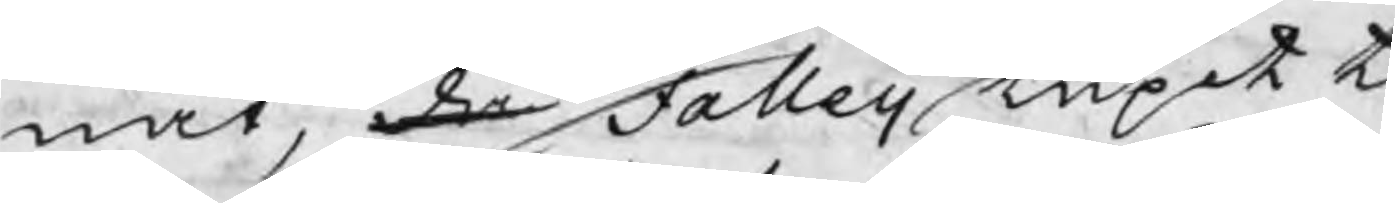nat, då Falleij lupit t
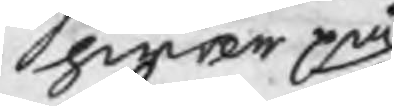hwar på
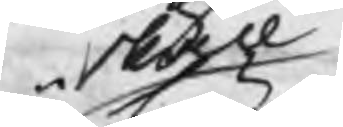skall
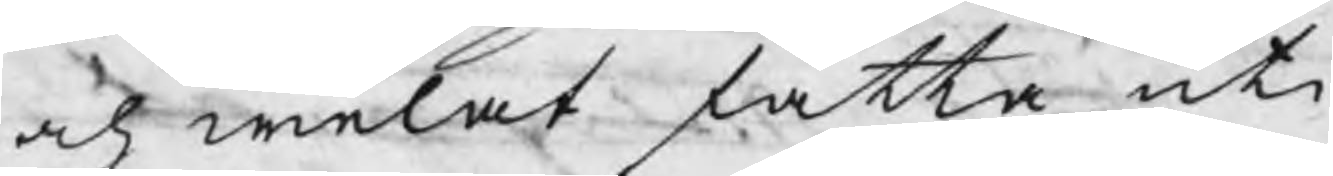och welat fatta uti
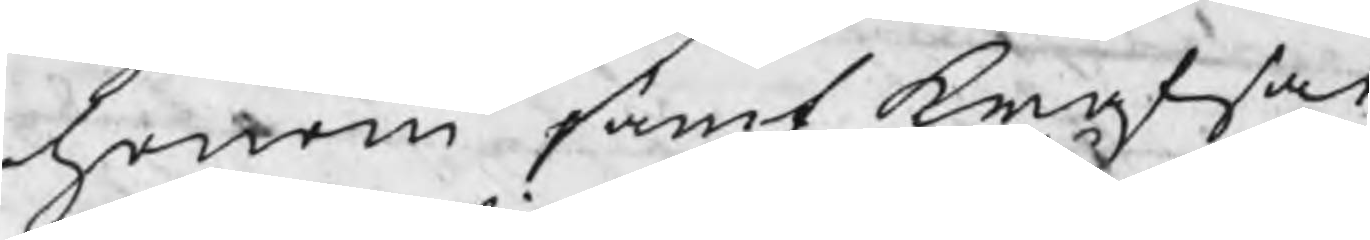honom samt krafsat
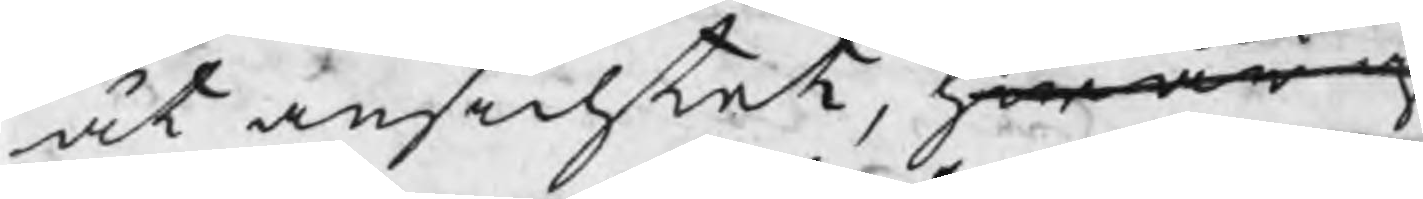åt ansichtet, hwar af
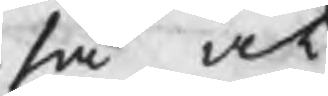så at
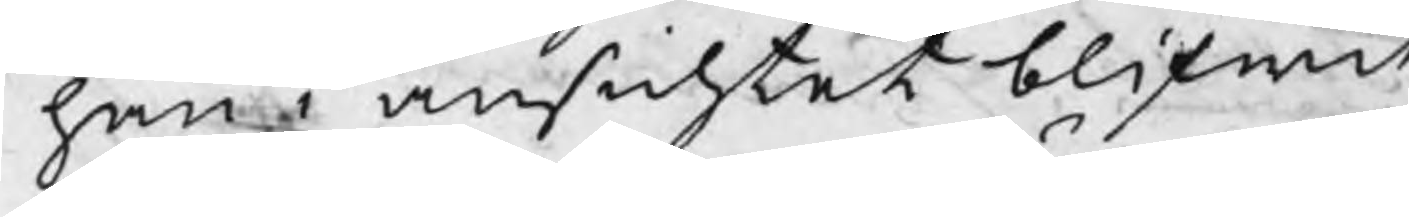han i ansichtet blifwit
